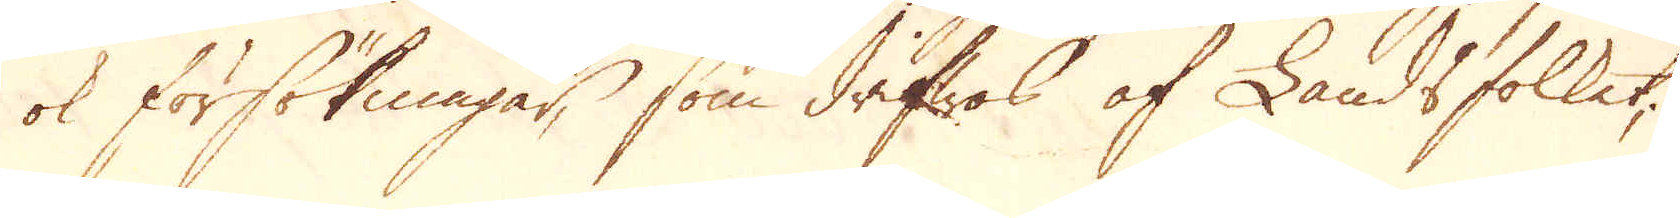ok försökningar, som drifwes af Landsfolket;
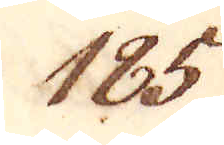185.
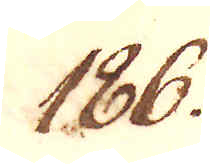186.
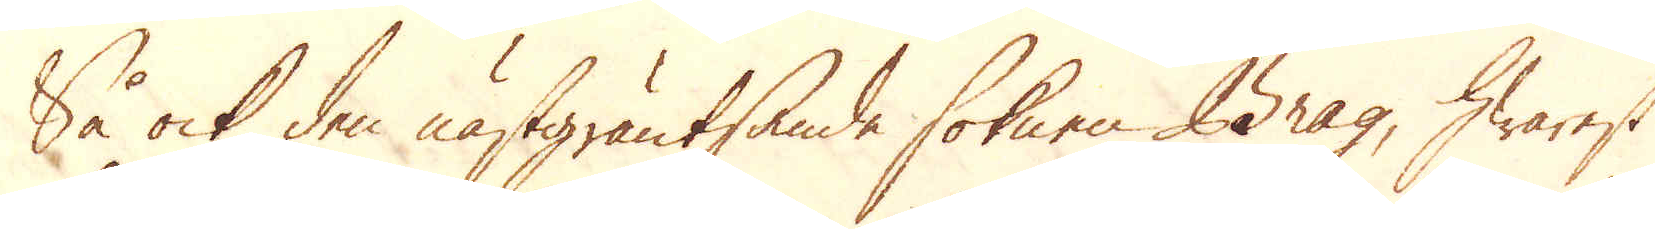Så ock den nästgräntsande soknen Brag, hwarest
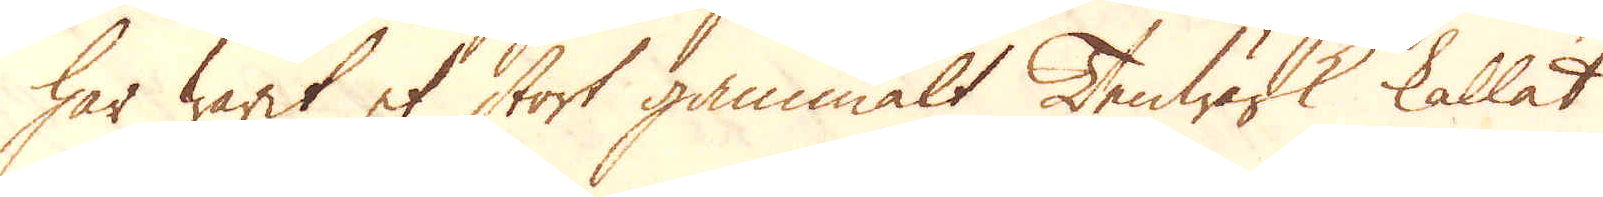har warit et stort gammalt Tenwärk kallat
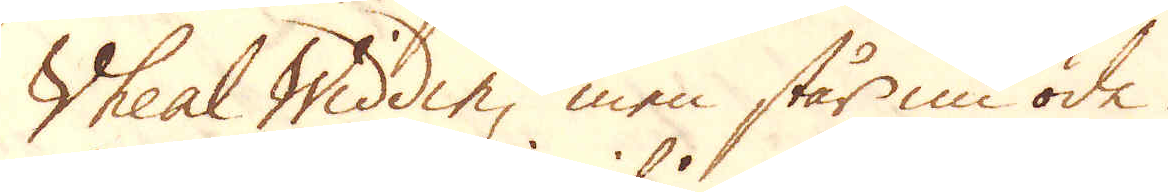Wheal Widdin, men står nu öde.
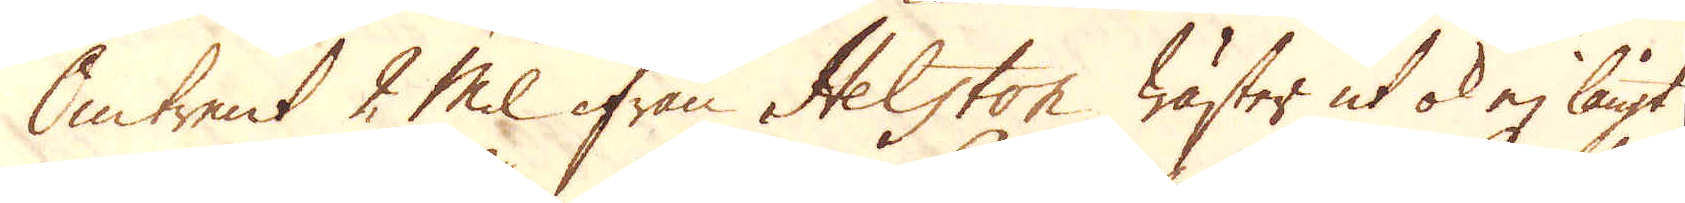Omtrent 2 mil ifrån Helston wäster ut ok ej långt
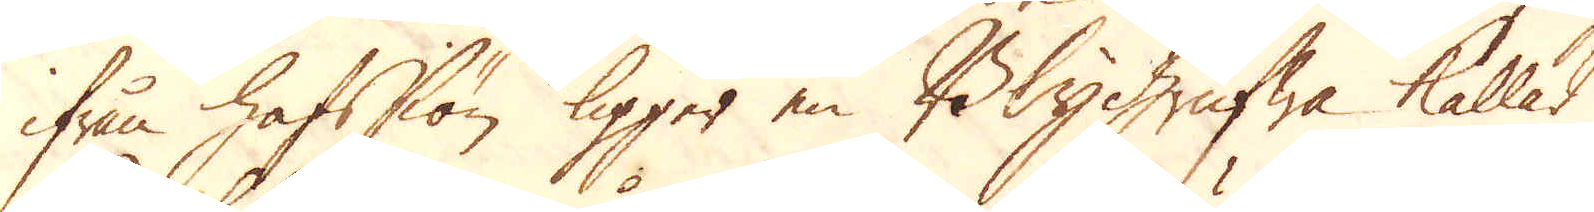ifrån hafssiön ligger en Blygrufwa kallad
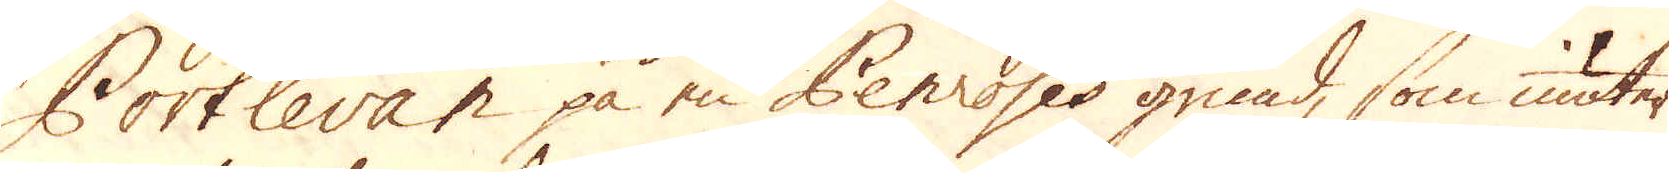Portlevan på en Penroses grund, som niuter
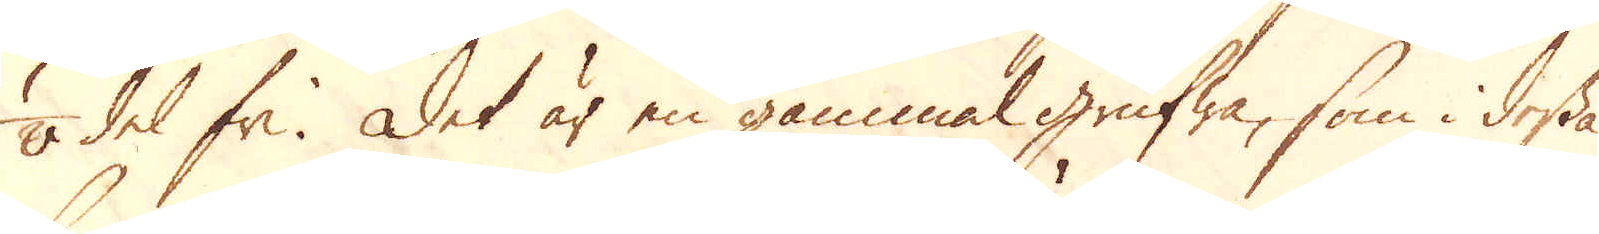1/8 del fri. Det är en gammal grufwa, som i dessa
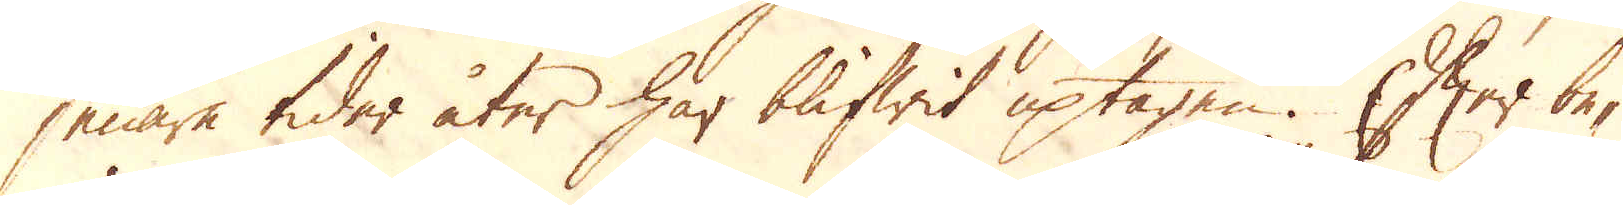senare tider åter har blifwit uptagen. Efter be-
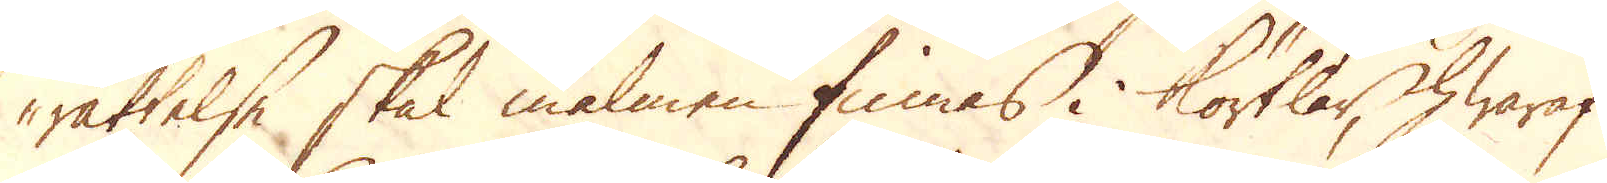rättelse skal malmen finnas i körtlar, hwaraf
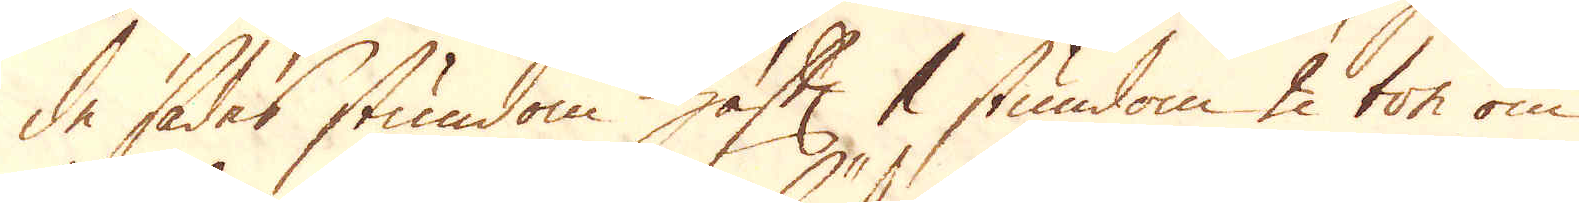de sades stundom haft 1 stundom 2 ton om
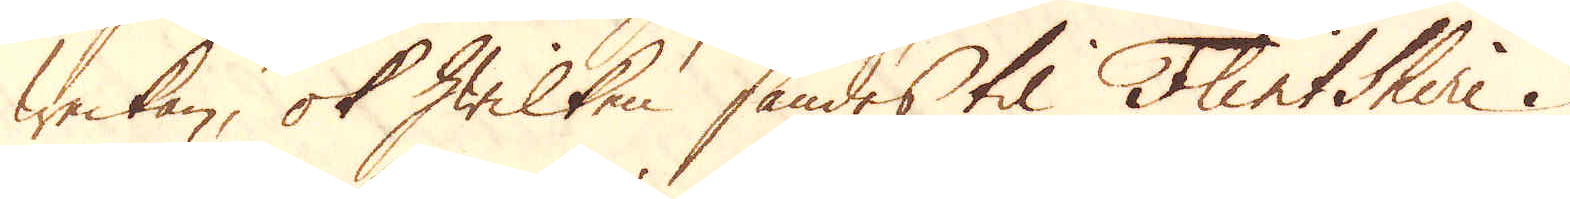weckan, ok hwilken sändes til Flintshire i
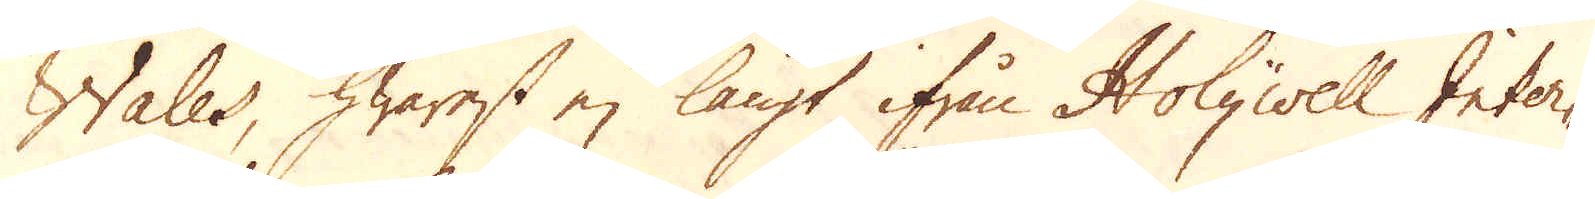Wales, hwarest ej långt ifrån Holywell Inter-
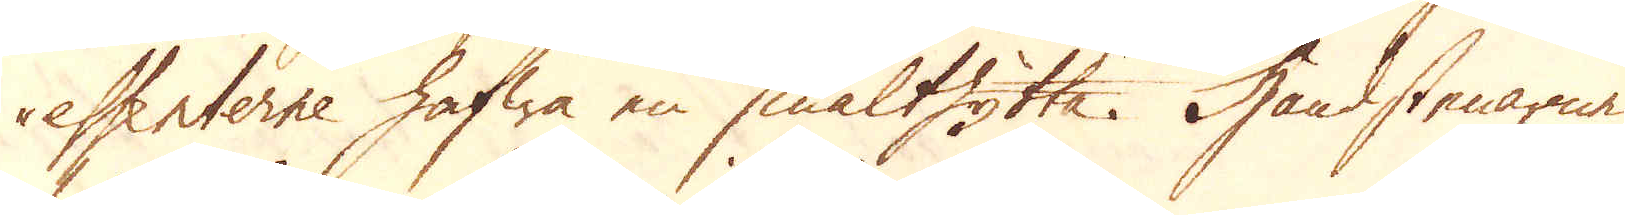essenterne hafwa en smälthytta. Handstenarne
